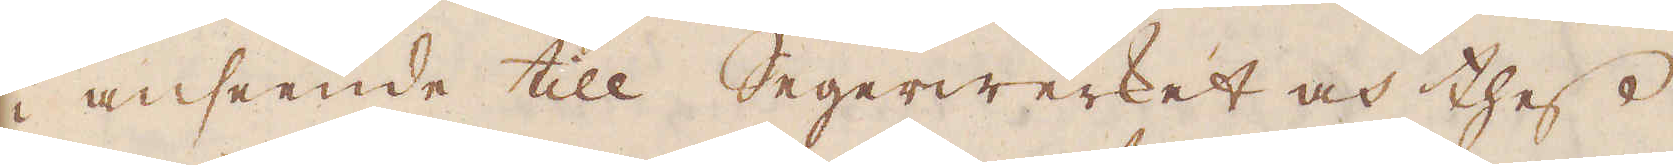i anseende till Segerwerket och thess
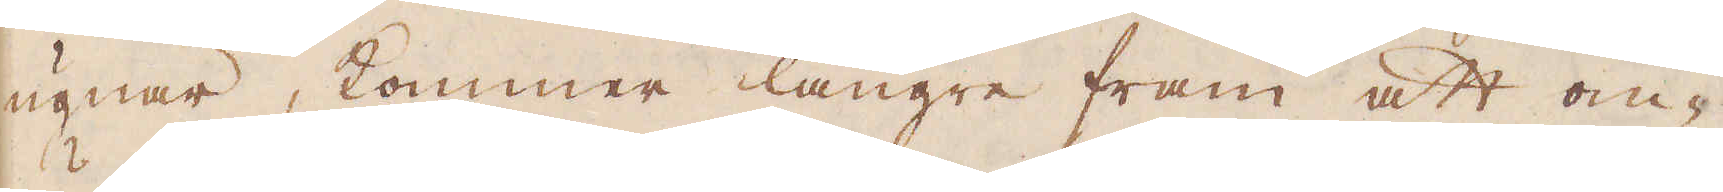ugnar, kommer längre fram att om-
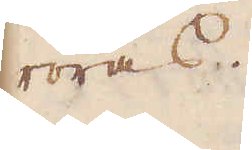röras.
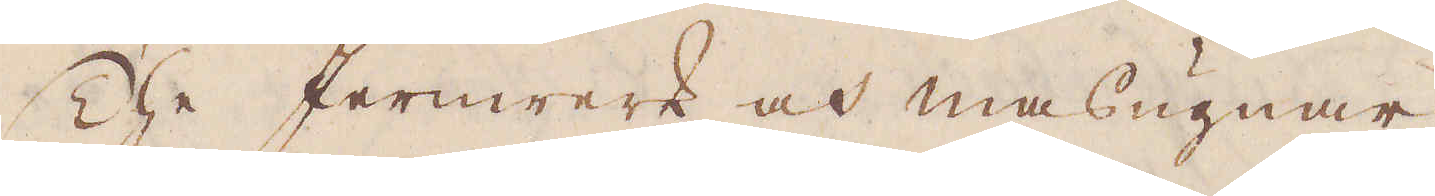The Jernwerk och masugnar,
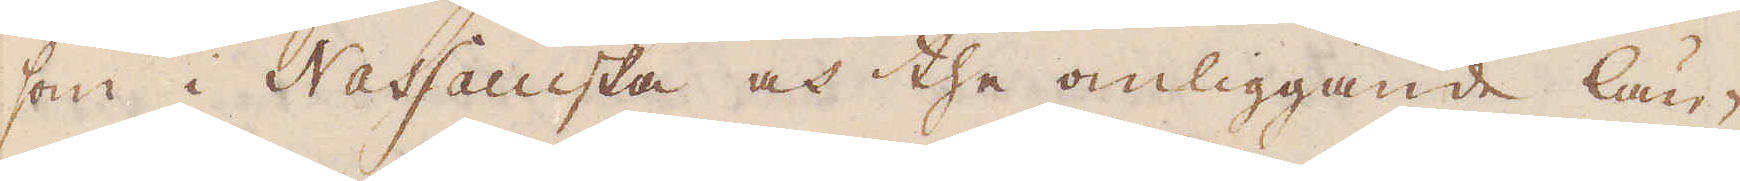som i Nassauiska och the omliggande län-
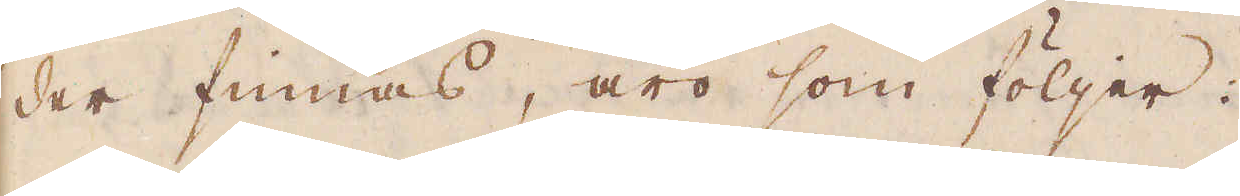der finnas, äro som följer:
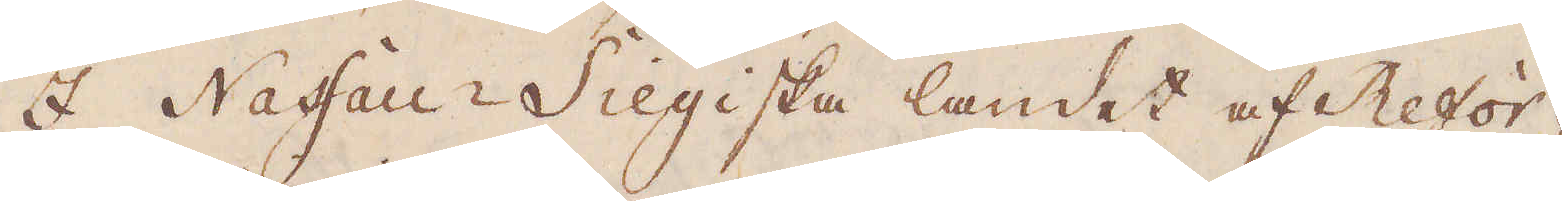I Nassau-Siegiska landet af Refor-
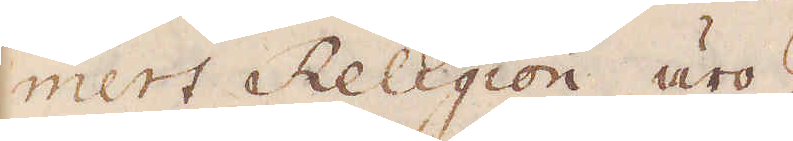mert Religion äro
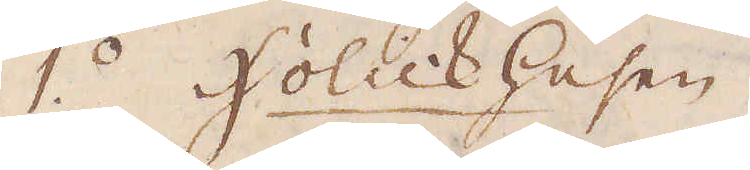1:o Holckhusen.
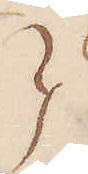}
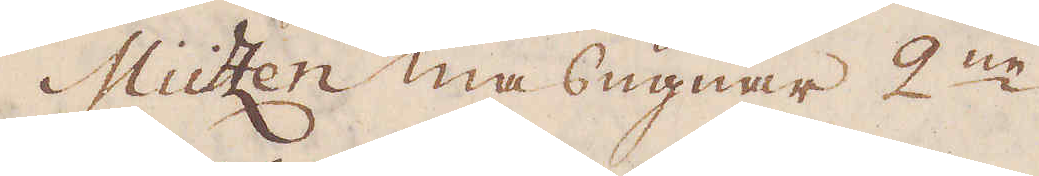Mützen masugnar 2:ne.
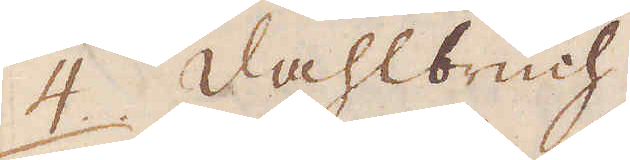4. Dahlbruch.
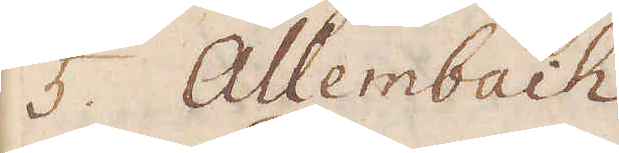5. Allembach
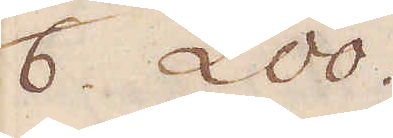6. Loo.
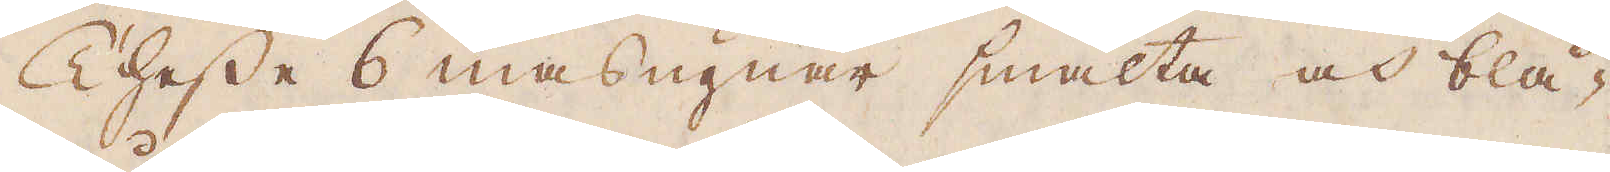Thesse 6 masugnar smälta och blå-
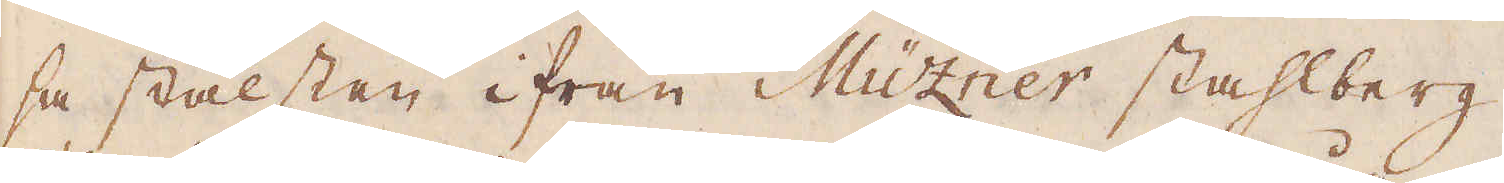sa stålsten ifrån Müzner stahlberg.
